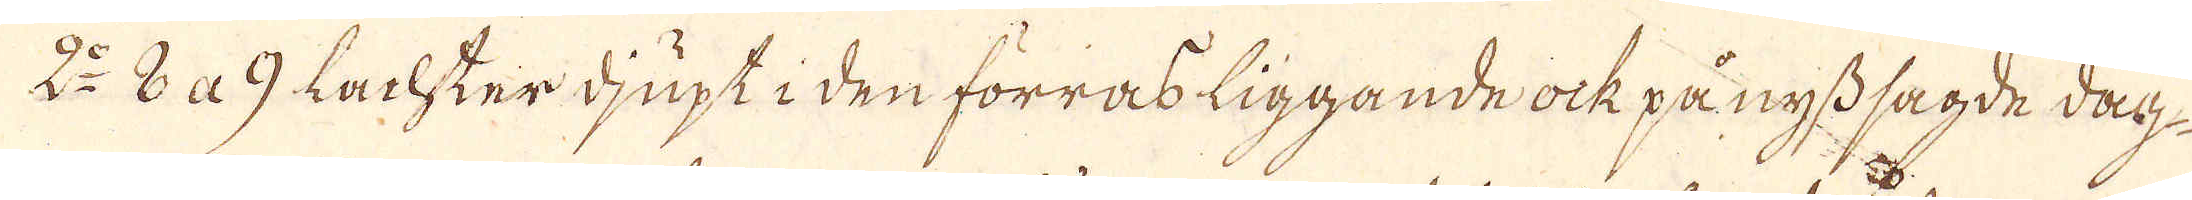2:o 8 a 9 Lachter djupt i den förras liggande ock på nyss sagde dag
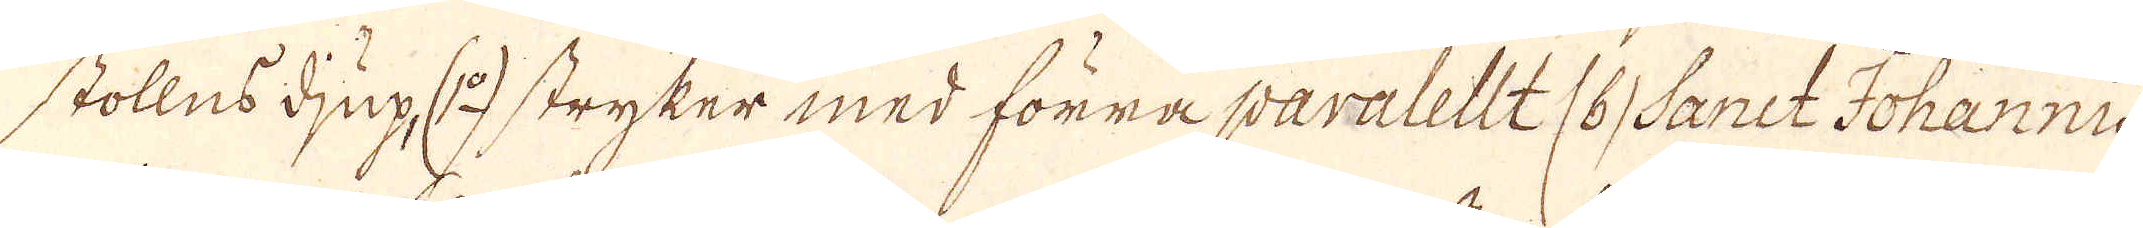stollns djup (1:o) stryker med förra paralellt (6) Sanct Johannit
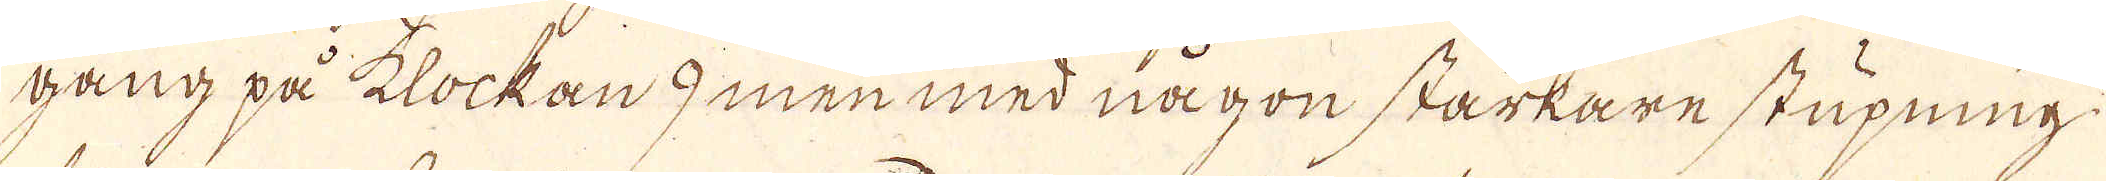gång på klockan 9 men med någon starkare stupning
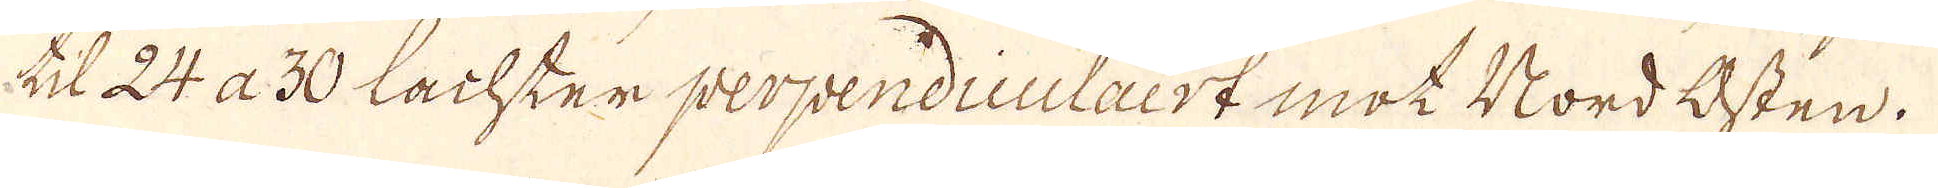till 24 a 30 Lachter perpendiculairt mot Nordosten.
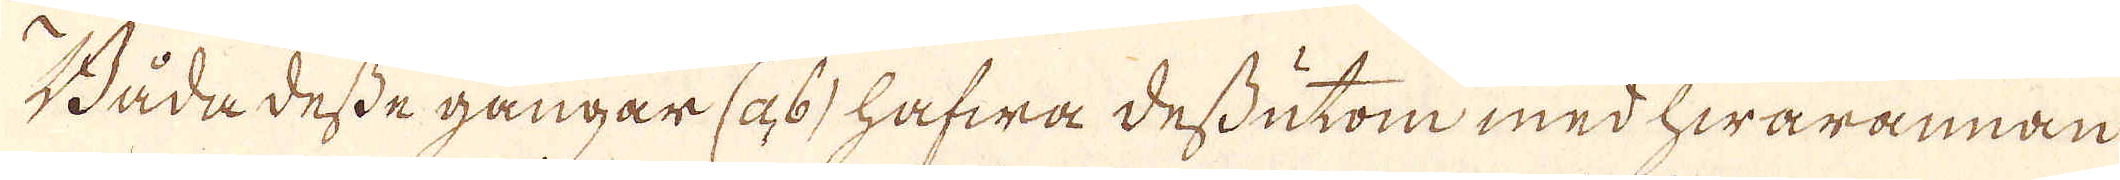Båda desse gångar (6) hafwa dessutom med hwarannan
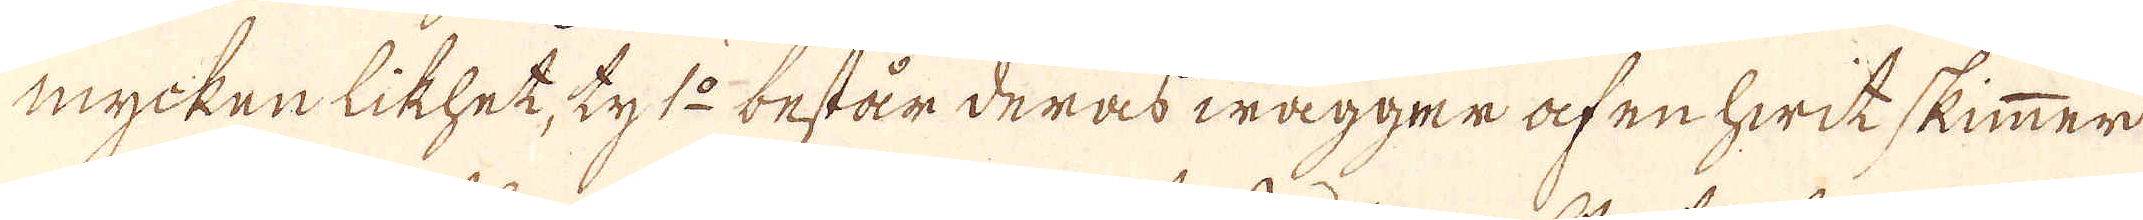mycken likhet; ty 1:o består deras wägger af en hwit skimmer
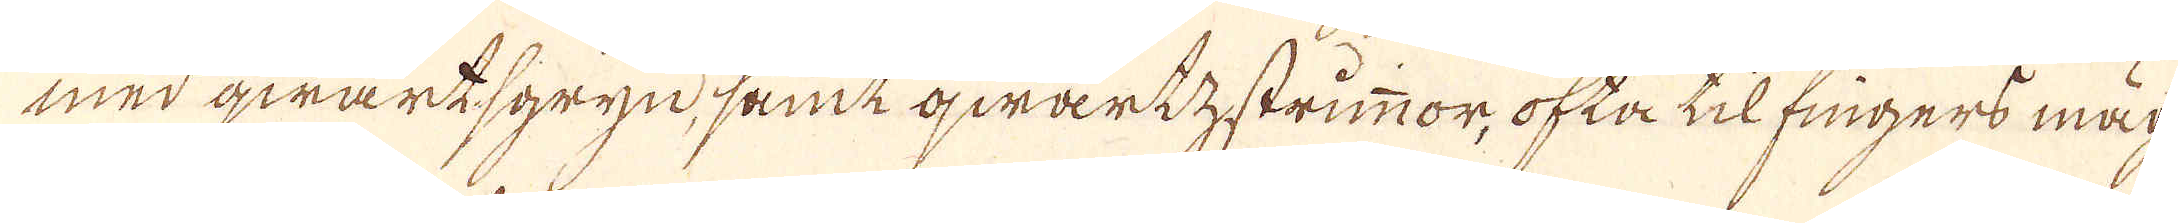med qwartsgryn, samt qwarkstrimmor, ofta til fingers mäg-
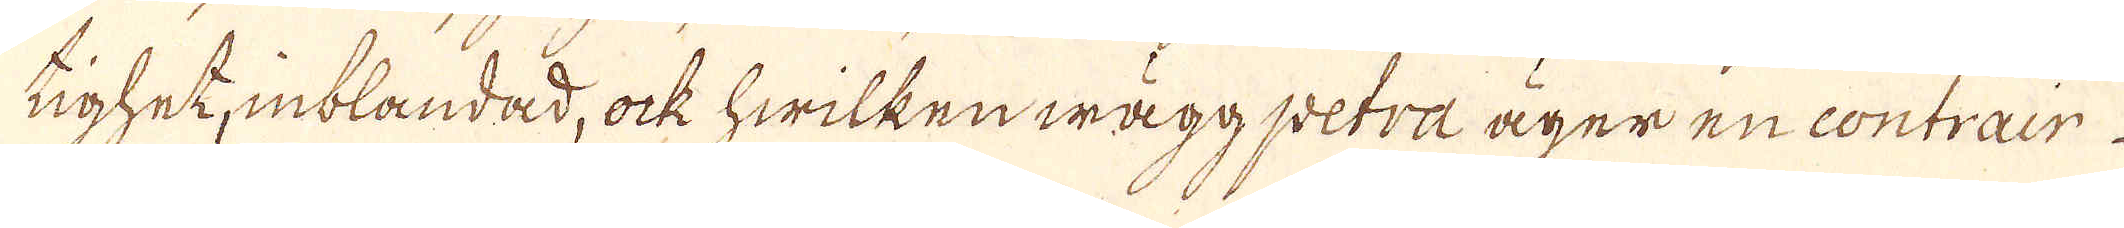tighet, inblandad, ock hwilken wäggpetra äger en contrair
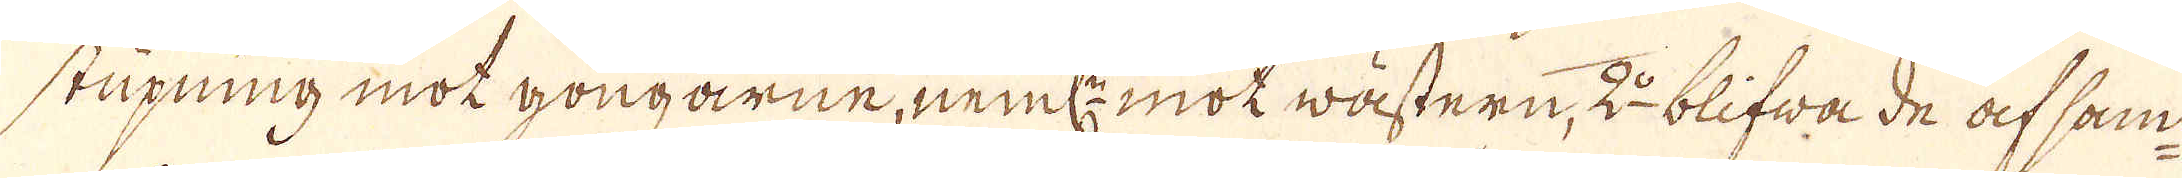stupning mot gongarne, neml:n mot wästern, 2:o blifwa de af sam-
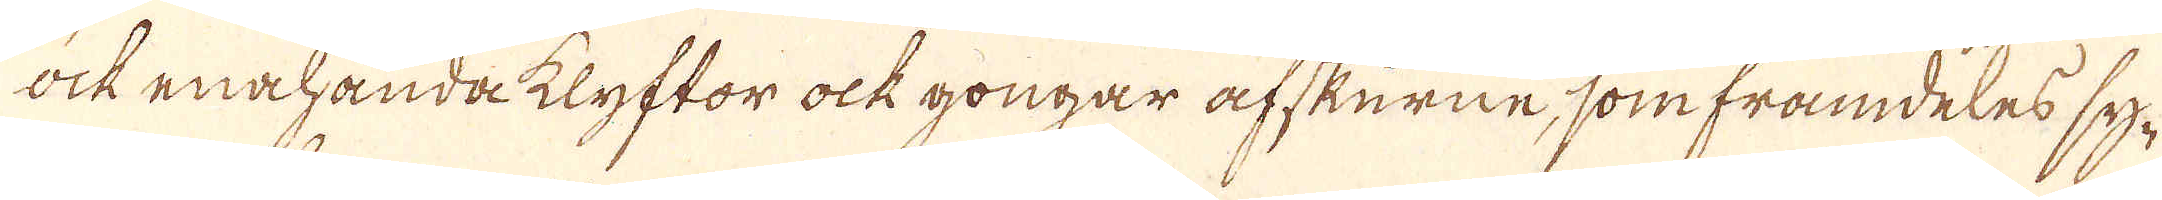ock enahanda klyftor ock gongar afskurne, som framdeles sy-
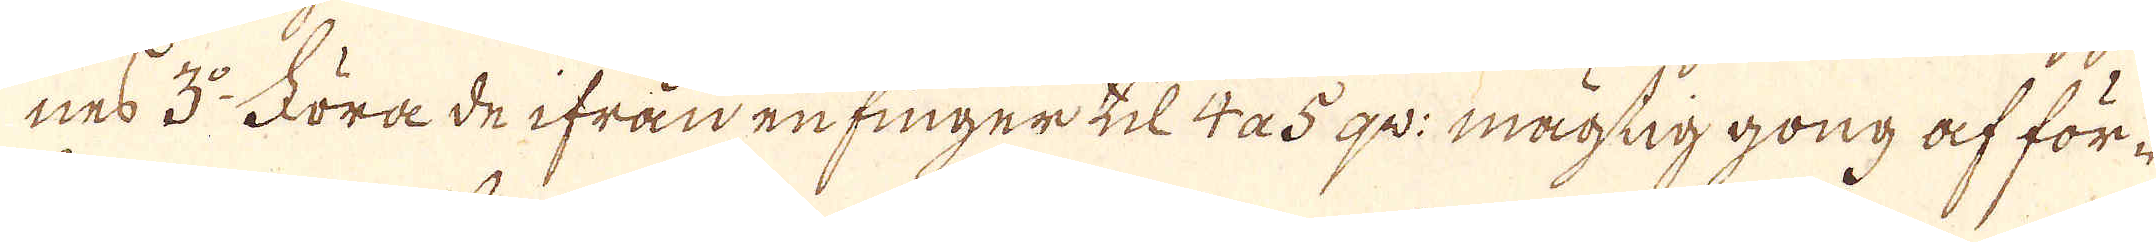nes 3:o Föra de ifrån en finger til 4 a 5 qv: mägtig gong af för-
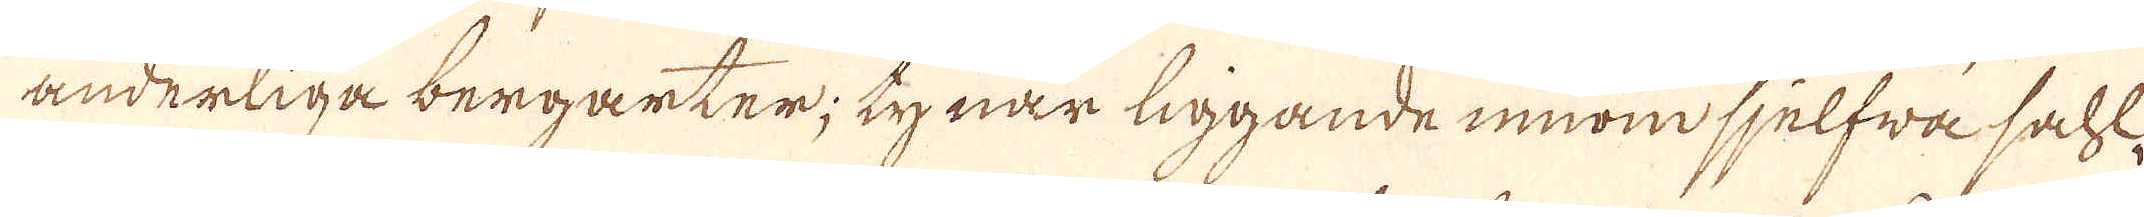änderliga bergarter; ty när liggande innom sjelfwa sahl-
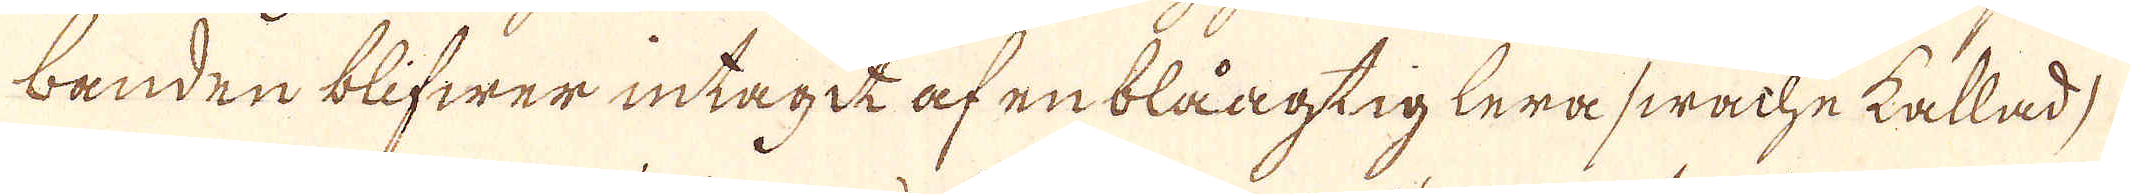banden blifwer intagit af en blåagtig lera swachekallad,
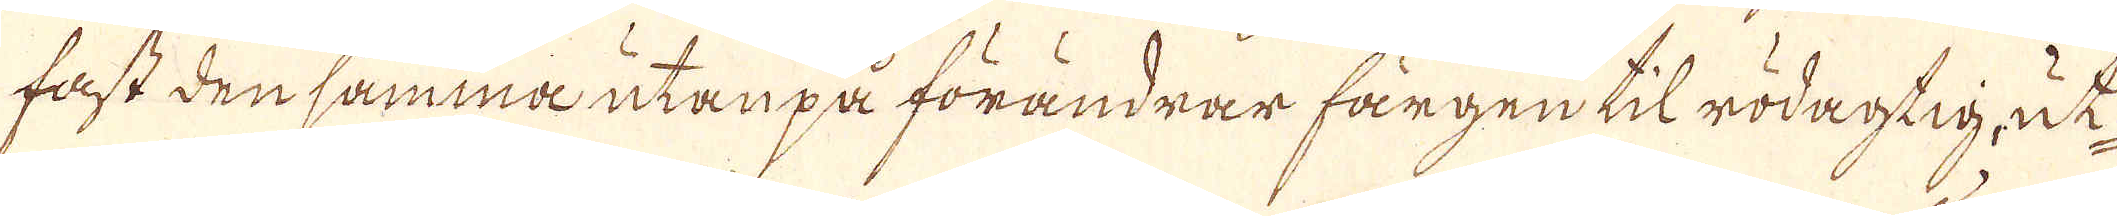fast den samma utan på förändrar färgen til rödagtig, ut
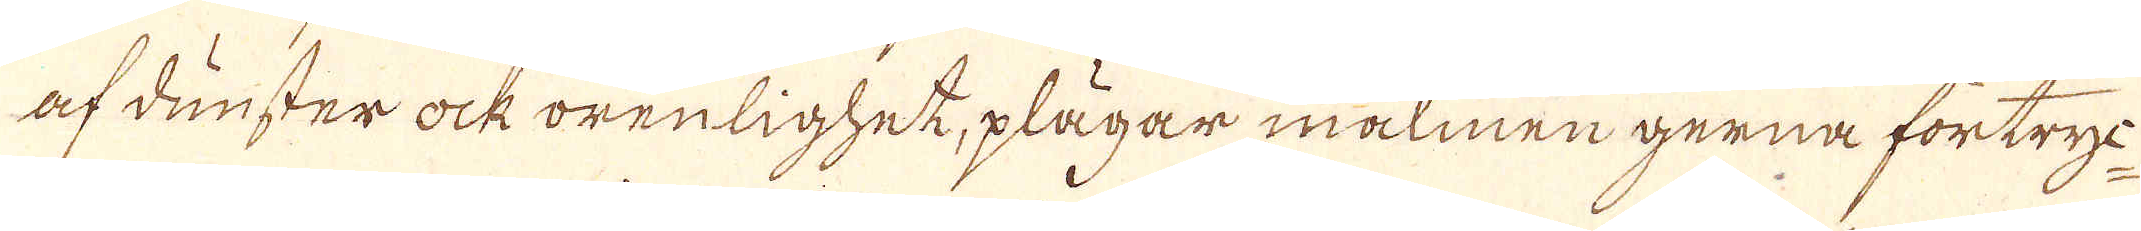af dunster ock orenlighet, plägar malmen gerna förtryc-
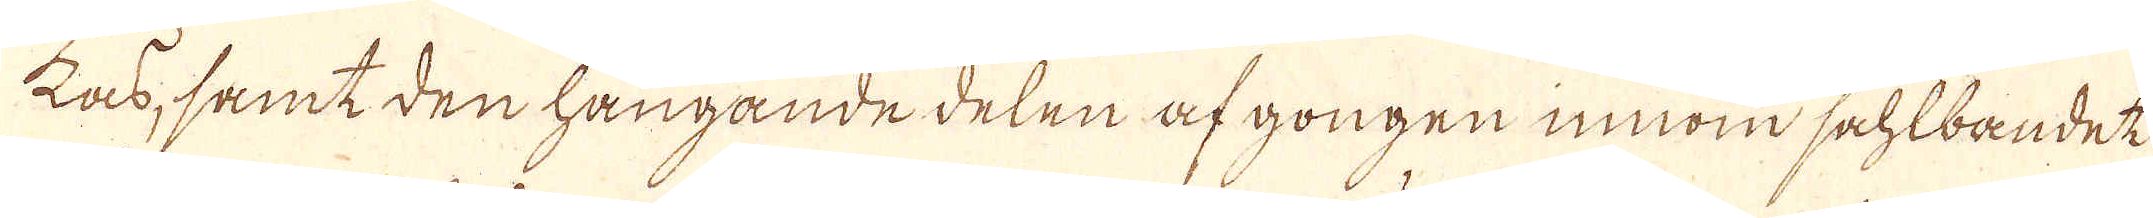kas, samt den hängande delen af gongen innom sahlbandet
